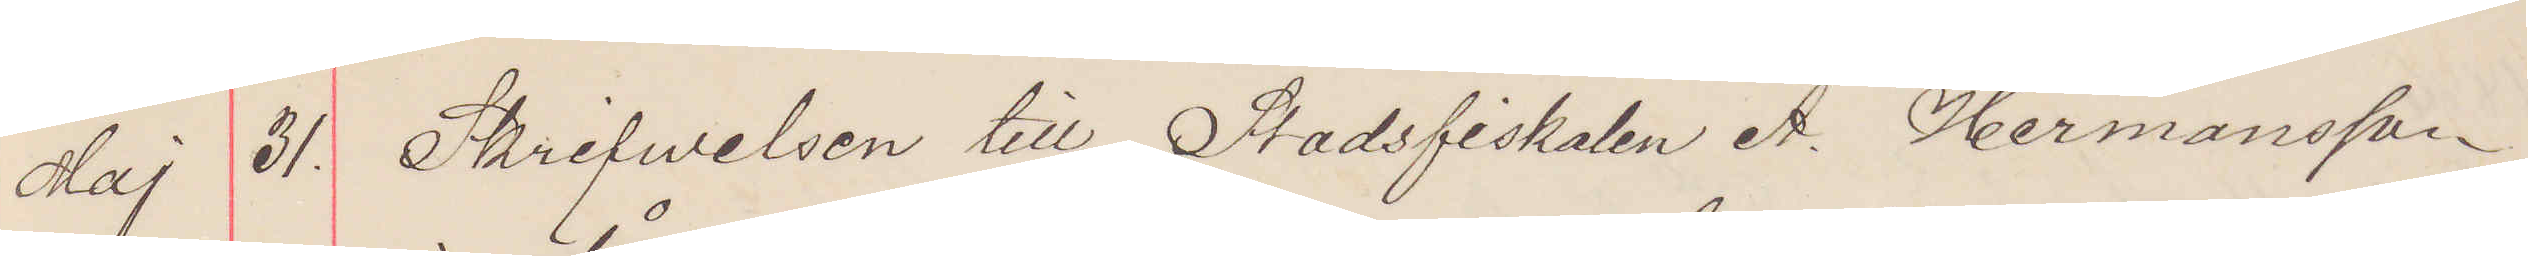Maj 31. Skrifwelsen till Stadsfiskalen A. Hermansson
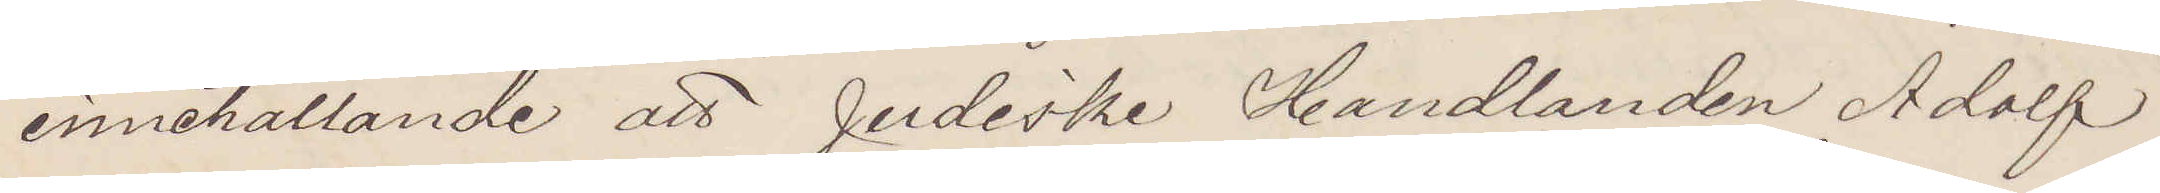innehållande att judiske Handlanden Adolf
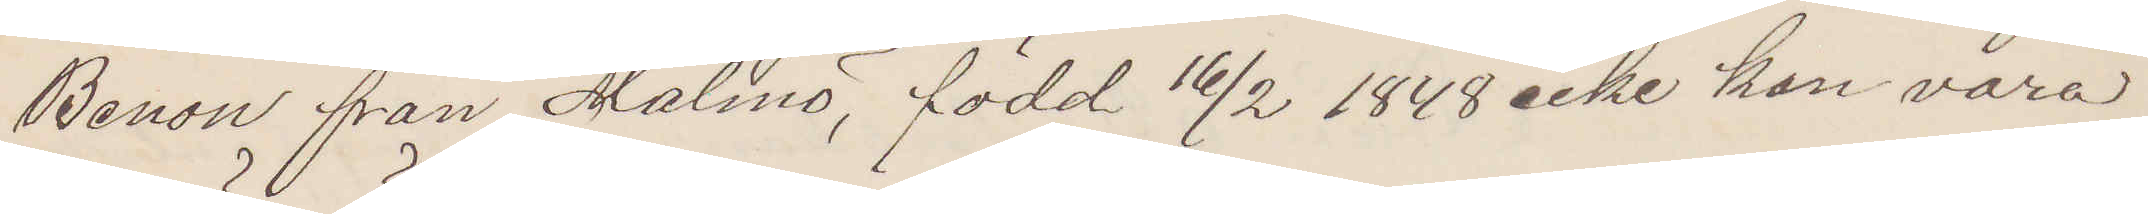Benon från Malmö, född 16/2 1848 icke kan vara
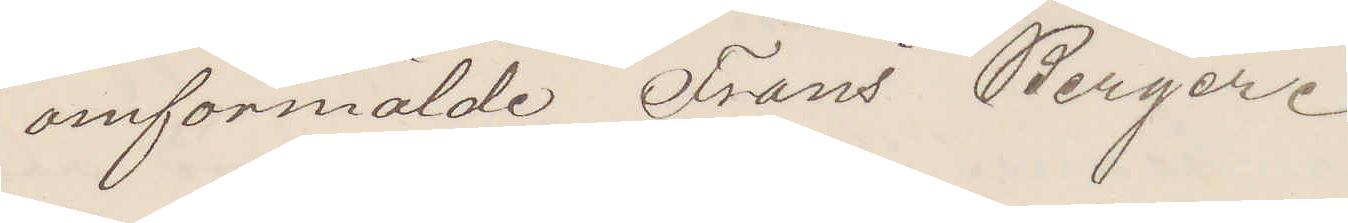omförmälde Frans Berger.
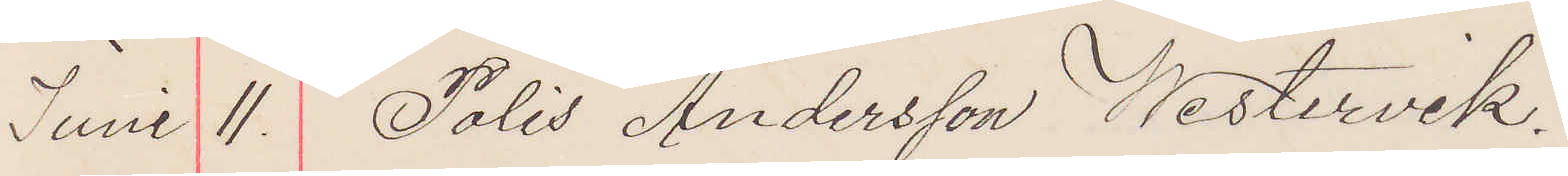Juni 11 Polis Andersson Westervik.
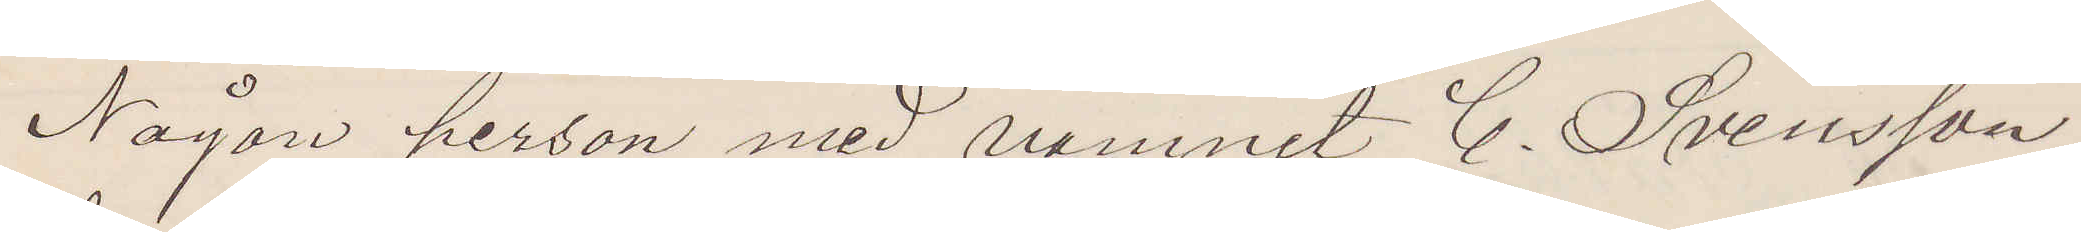Någon person med namnet C. Svensson
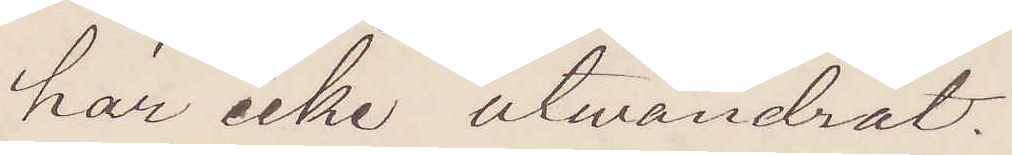har icke utvandrat.
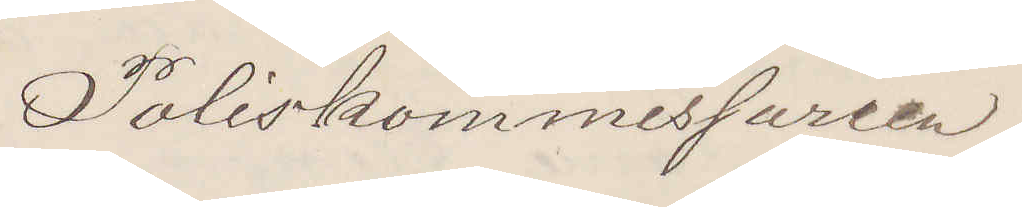Poliskommissarien
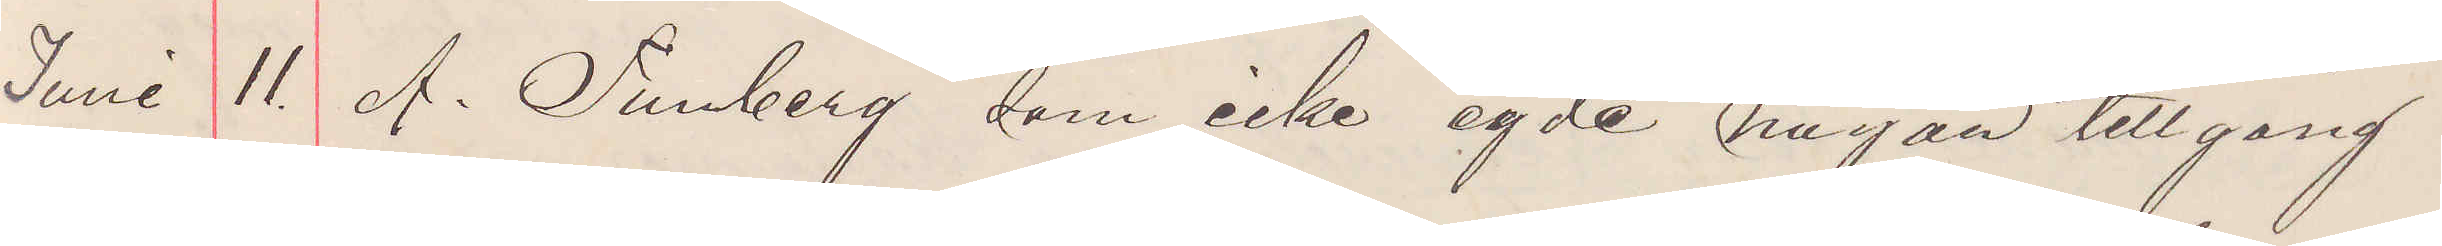Juni 11 A. Tunberg, som icke egde någon tillgång
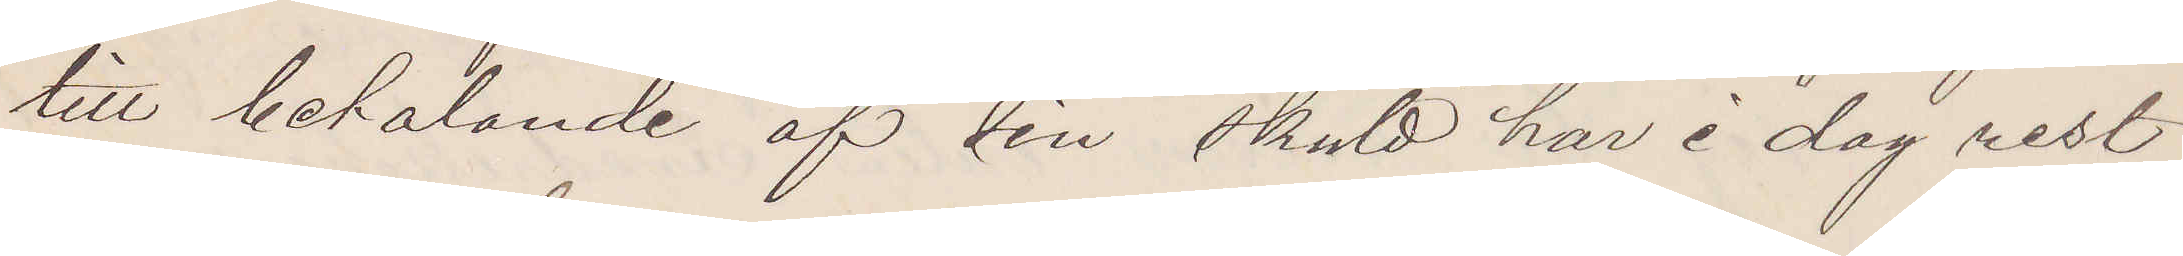till betalande af sin skuld har i dag rest
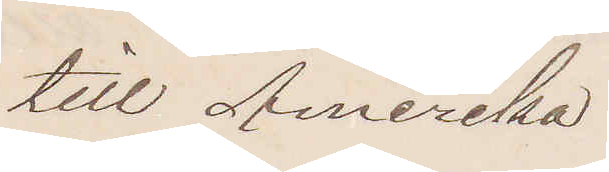till Amerika
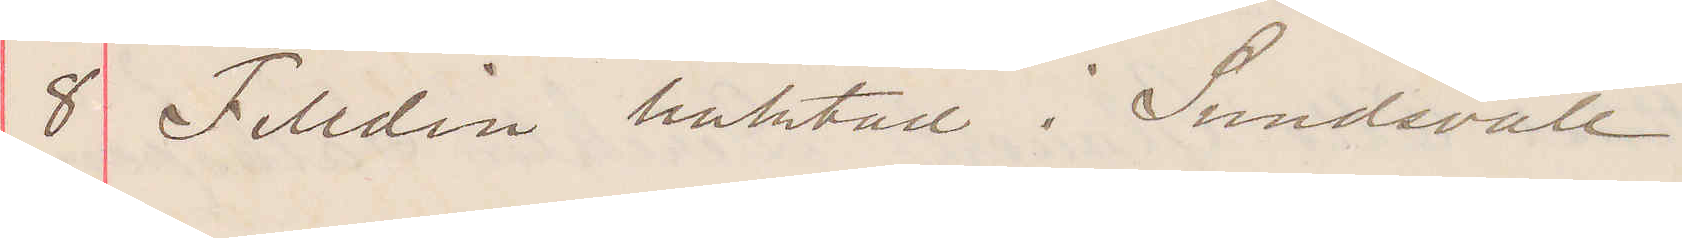8 Felldin häktad i Sundsvall
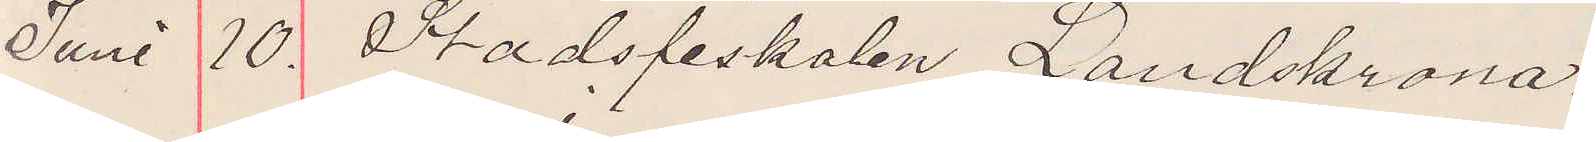Juni 10. Stadsfiskalen Landskrona.
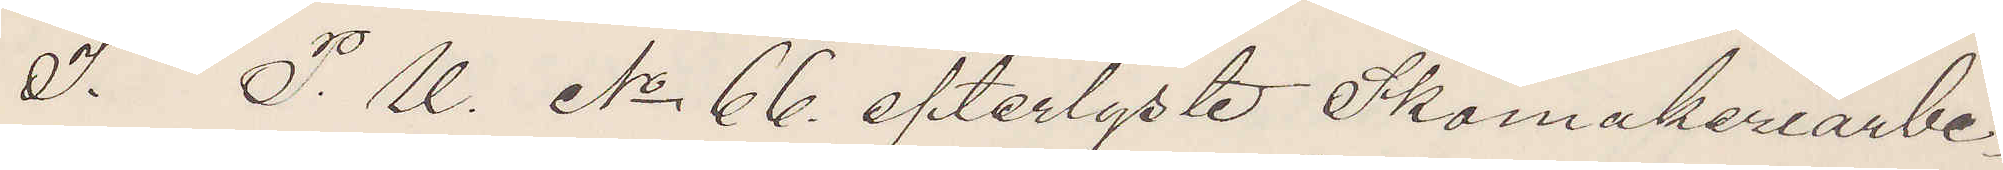I. P. U. No 66 efterlyste Skomakeriarbe¬
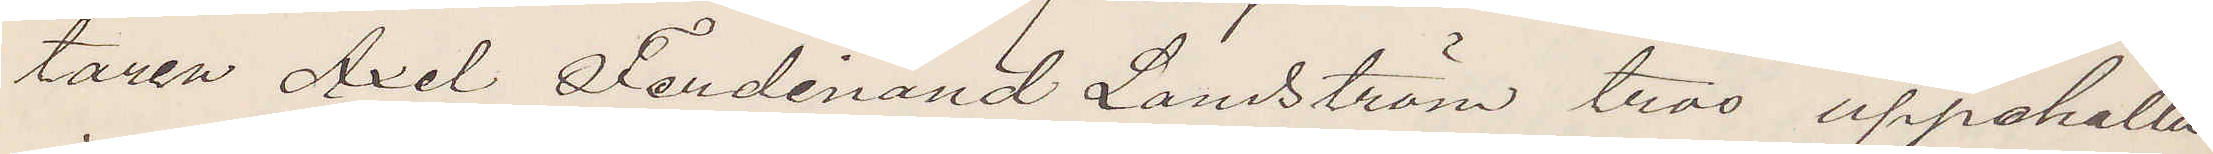taren Axel Ferdinand Lanström tros uppehålla
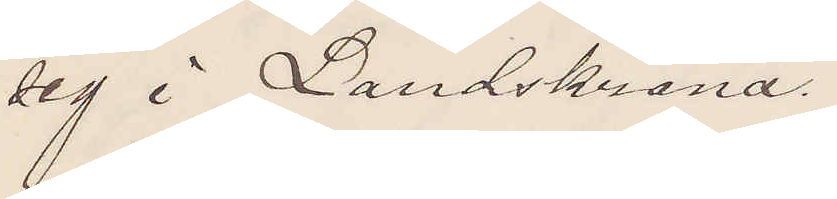sig i Landskrona.
